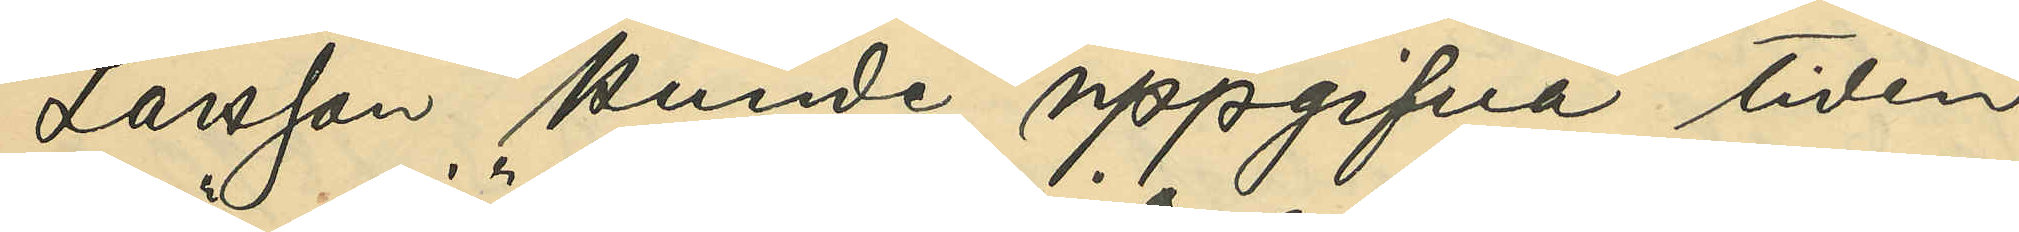Larsson kunde uppgifva tiden,
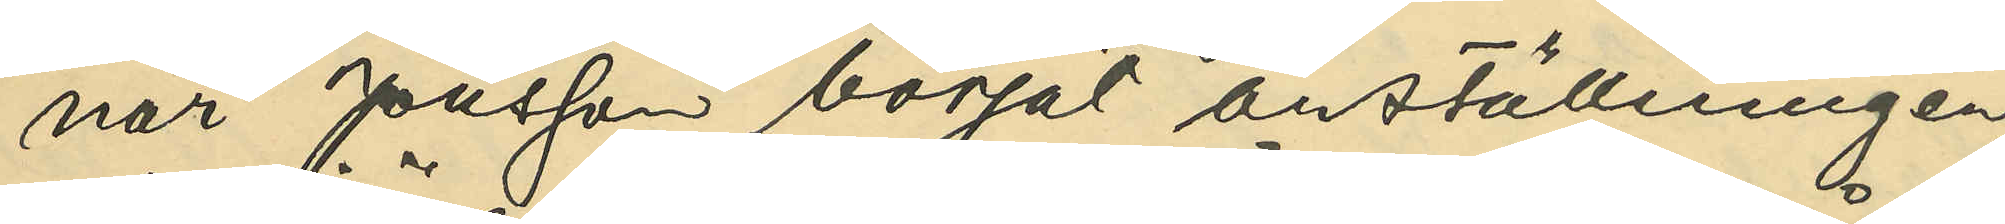när Jönsson börjat anställningen;
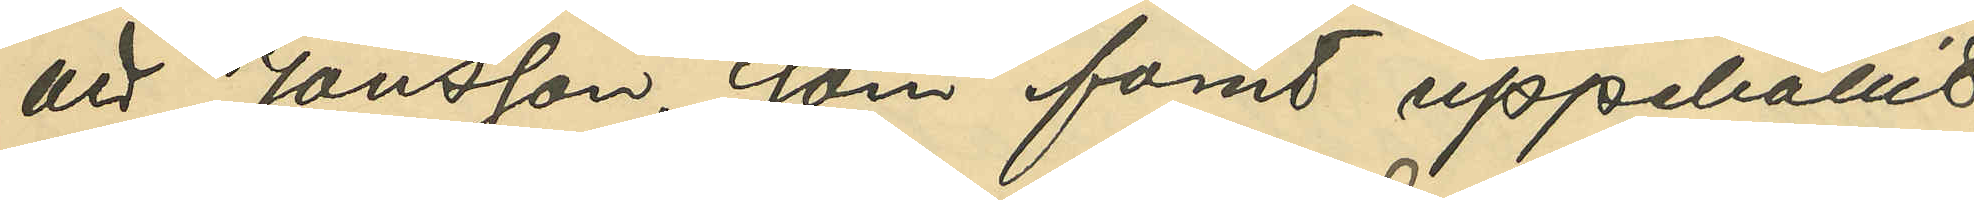att Jönsson, som förut uppehållit
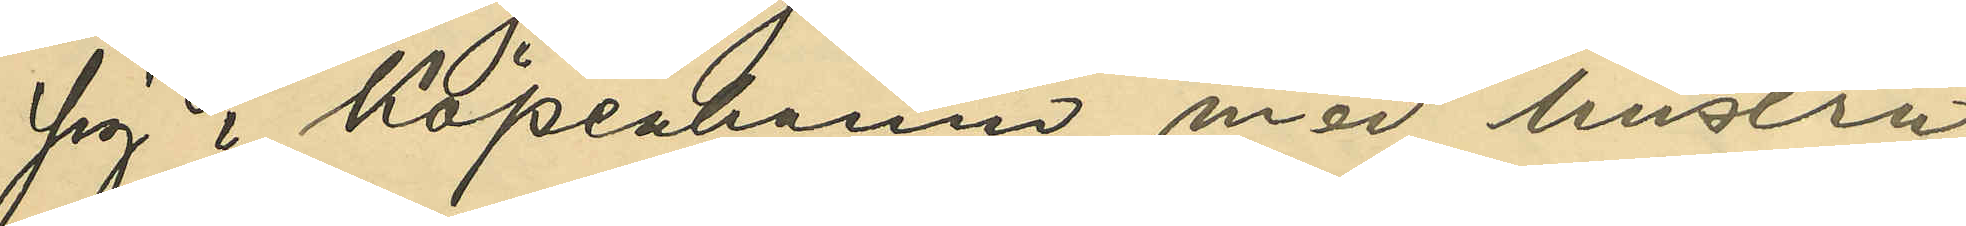sig i Köpenhamn, med hustru
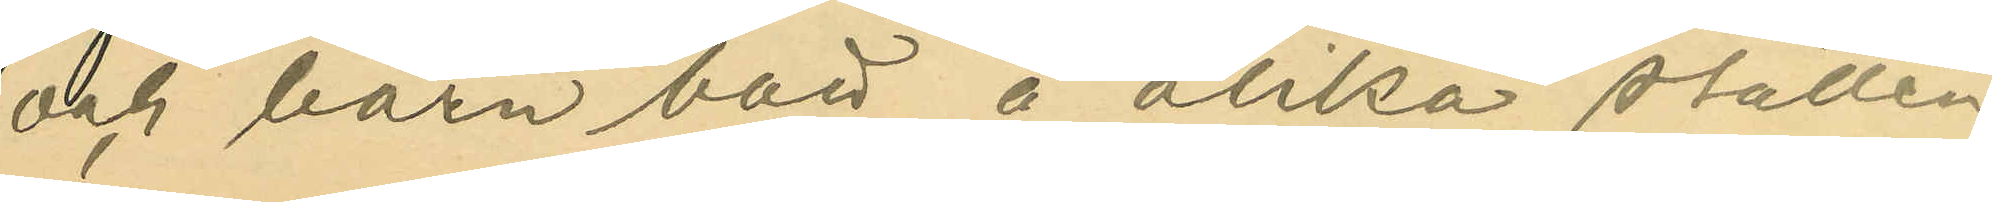och barn bott å olika ställen
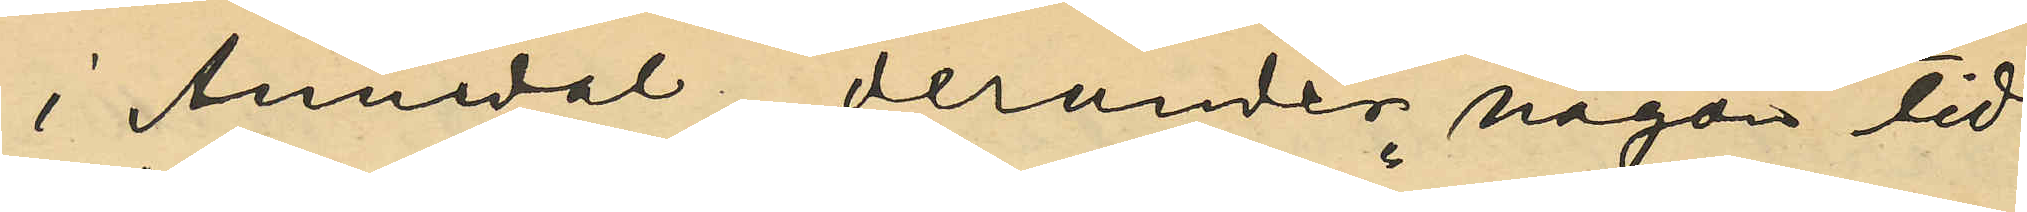i Annedal, derunder någon tid
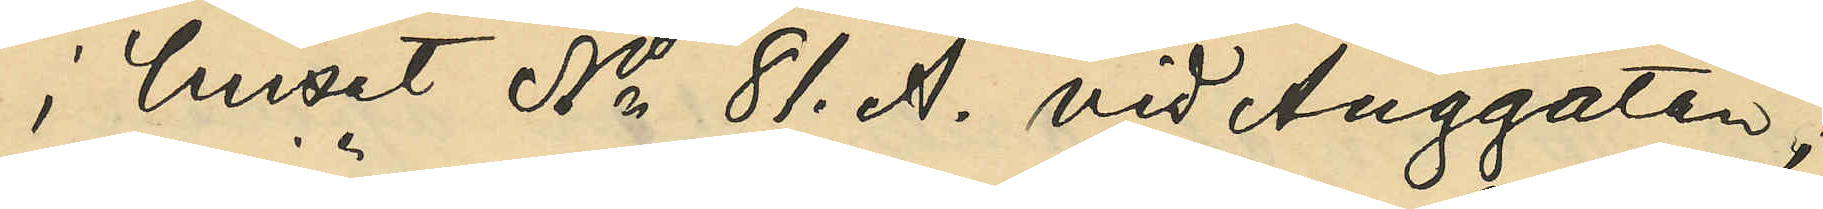i huset No 81. A. vid Änggatan;
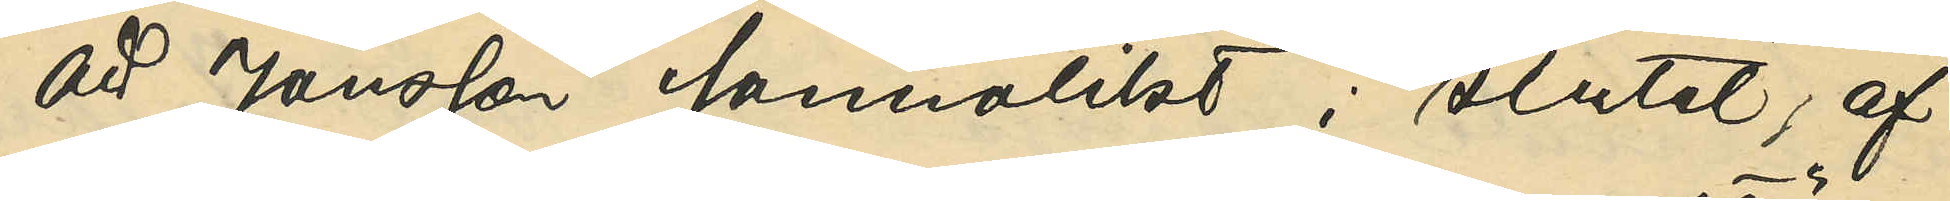att Jönsson sannolikt i slutet af
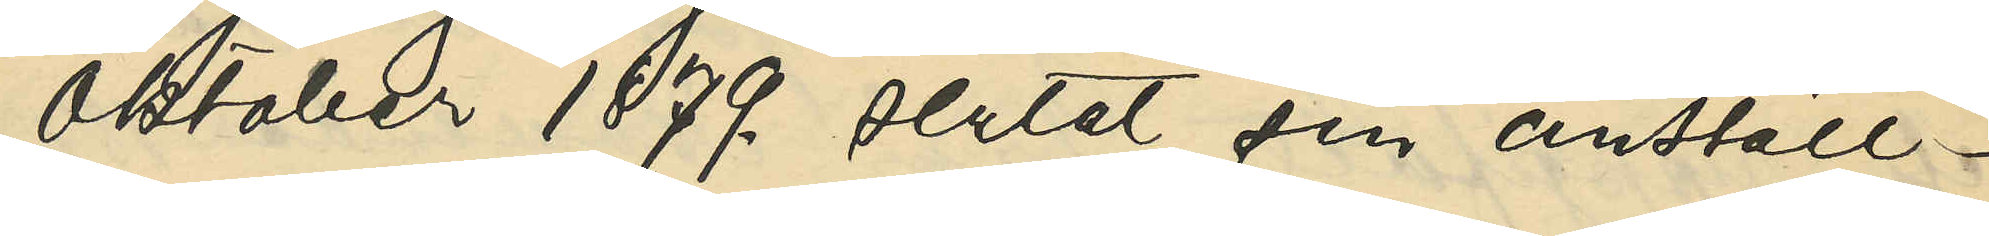Oktober 1879. slutat sin anställ¬
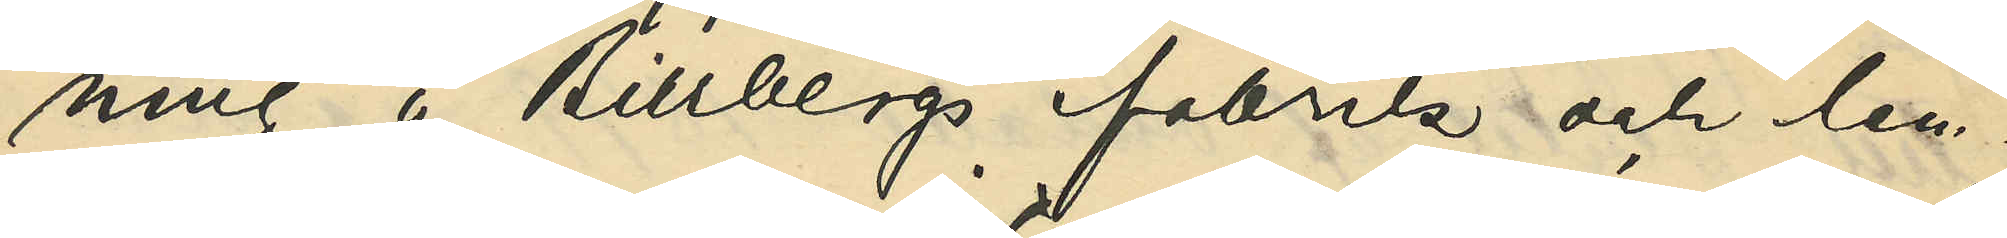ning å Billbergs fabrik och lem¬
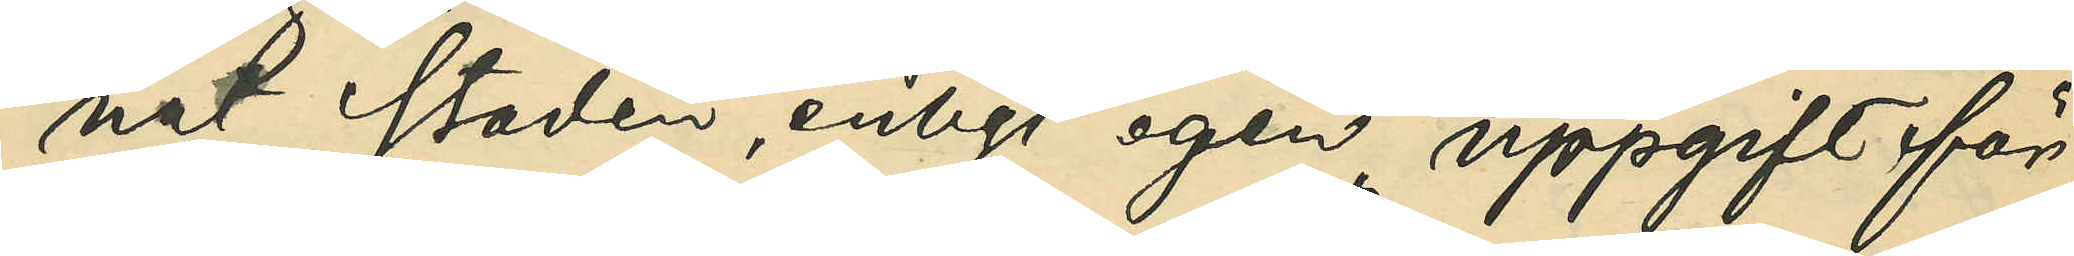nat staden, enligt egen uppgift för
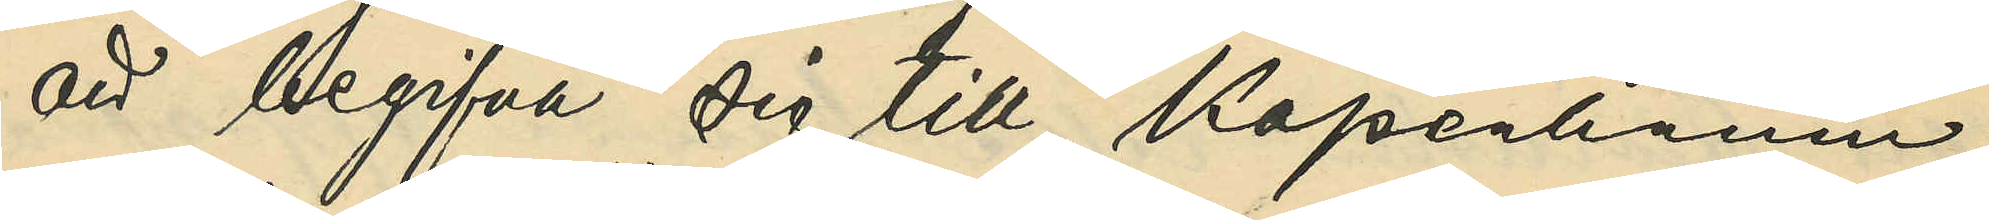att begifva sig till Köpenhamn;
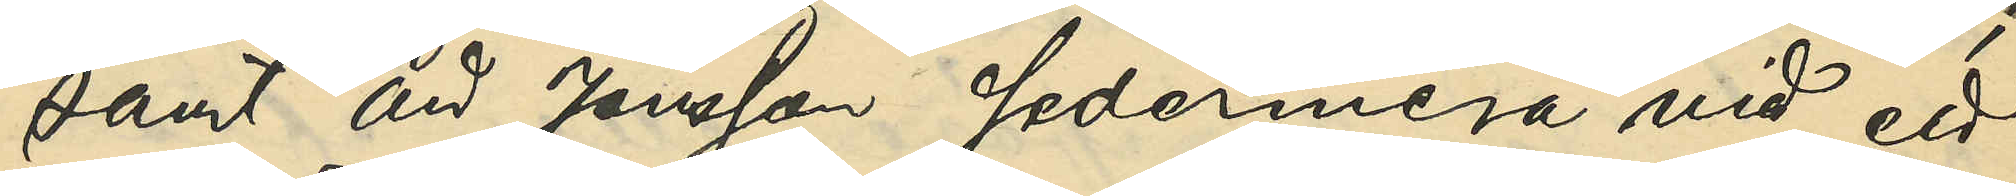samt att Jönsson sedermera vid ett
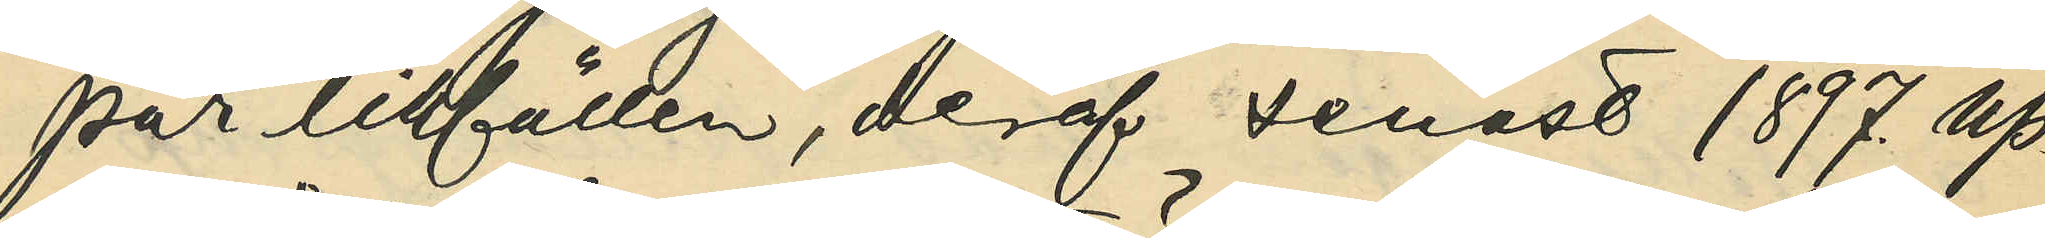par tillfällen, deraf senast 1897. up¬
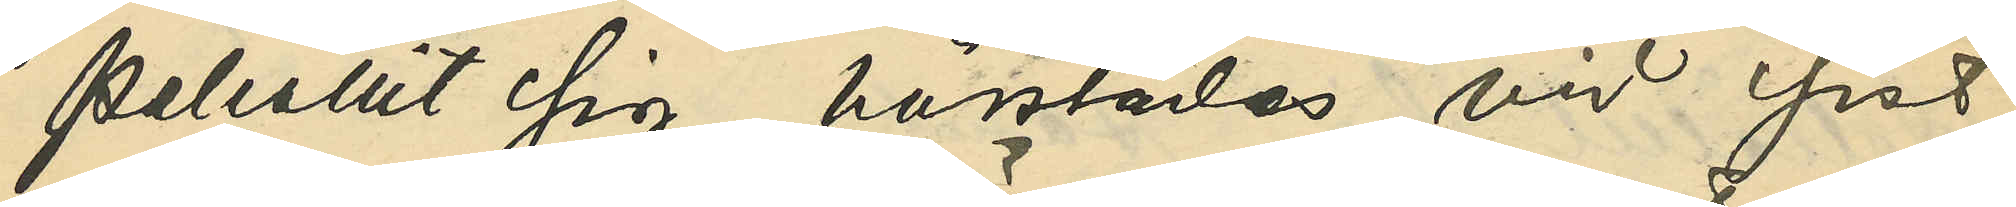pehållit sig härstädes vid sist¬
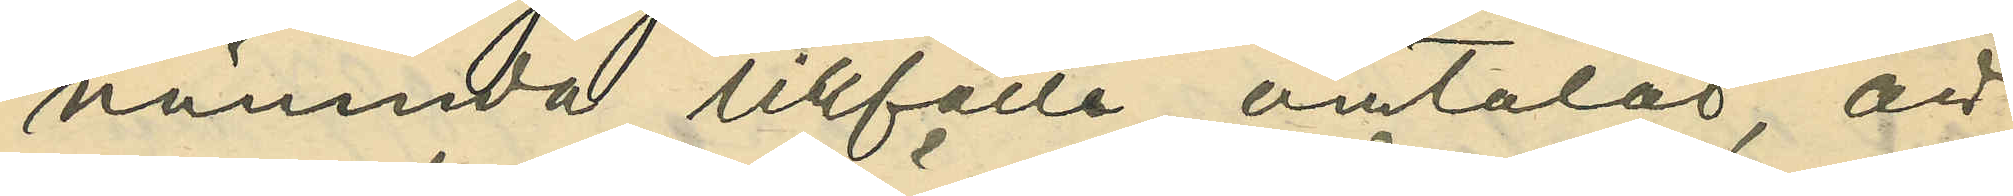nämnda tillfälle omtalat, att
